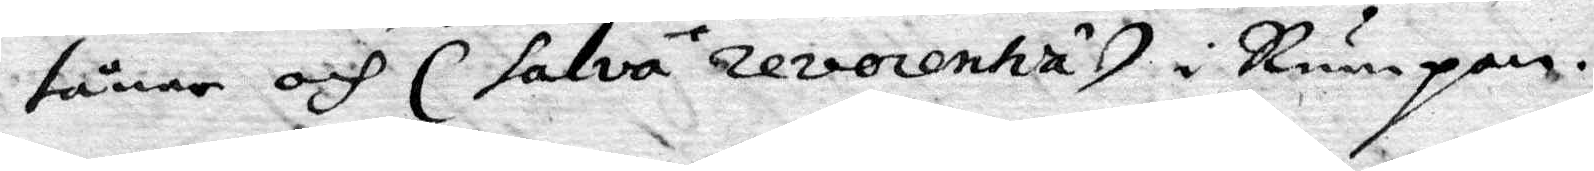tårne och (salva revocentia) i Rumpan.
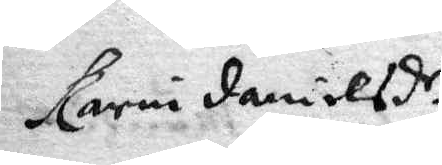Karin danilesd.r
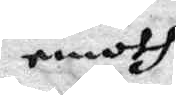emoth
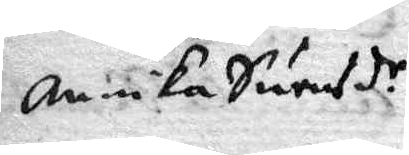Annika Swensd.r
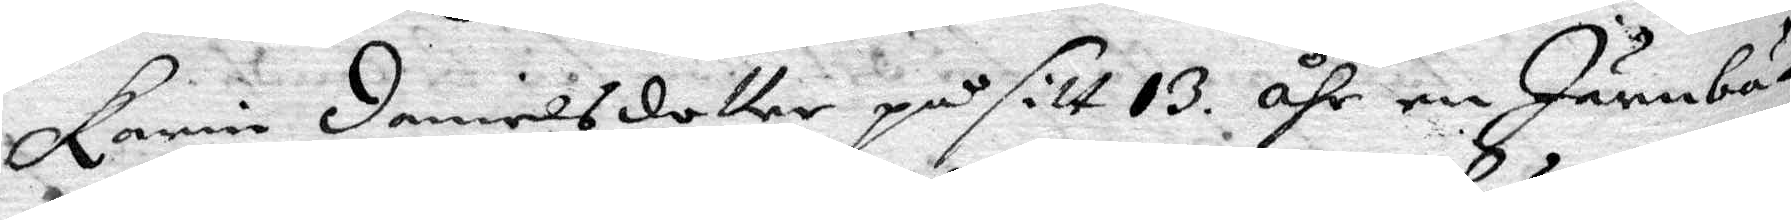Karin danielsdotter på sitt 13 åhr en Järnbä¬
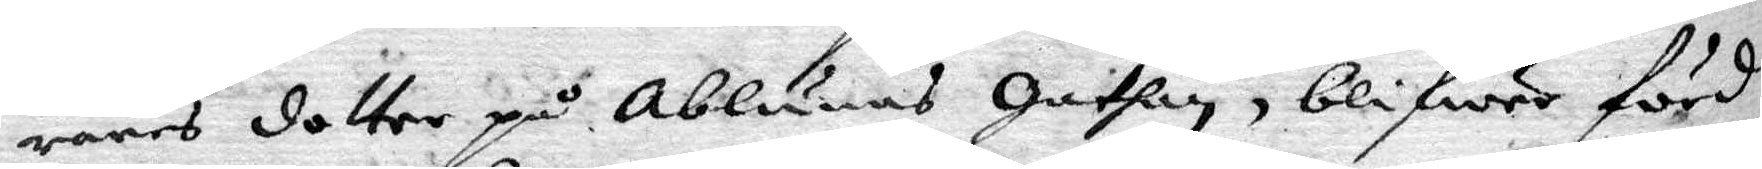rares dotter på Ablunes gathan, blifwer förd
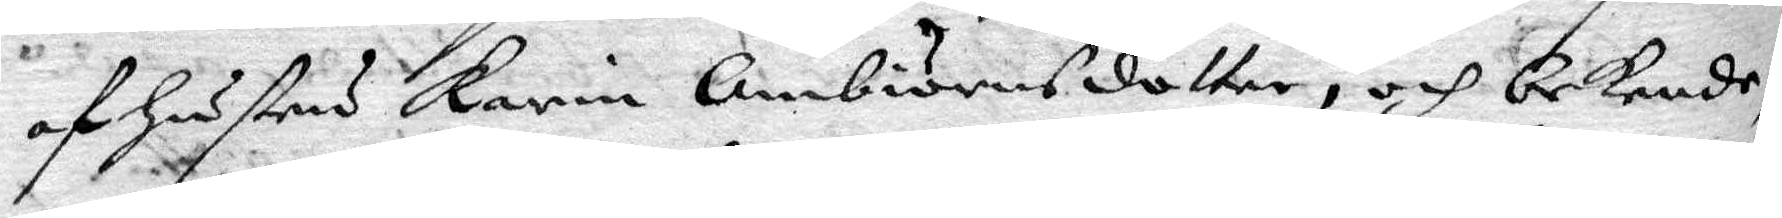af hustru Karin Ambiörnsdotter, och bekende,
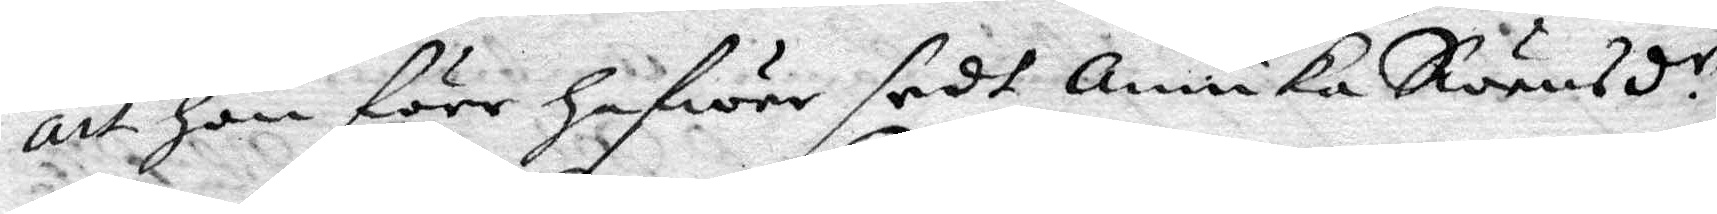att hon förr hafwer sedt Annika Swensd.r
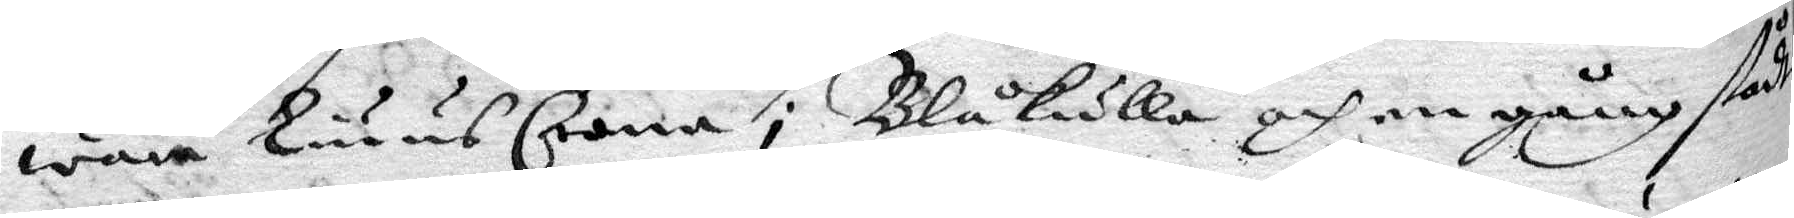wara Liuus Crona i Blåkulla och en gång stådt
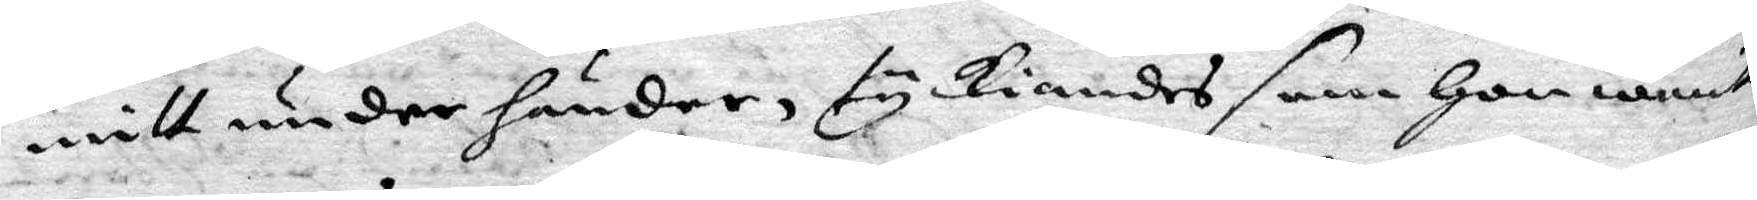mitt under under händer, tyckiandes som hon warit
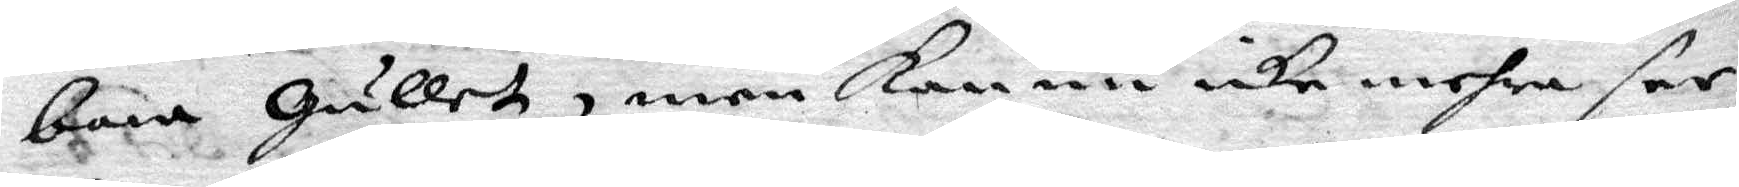bara gullet, men kan nu icke mehra see
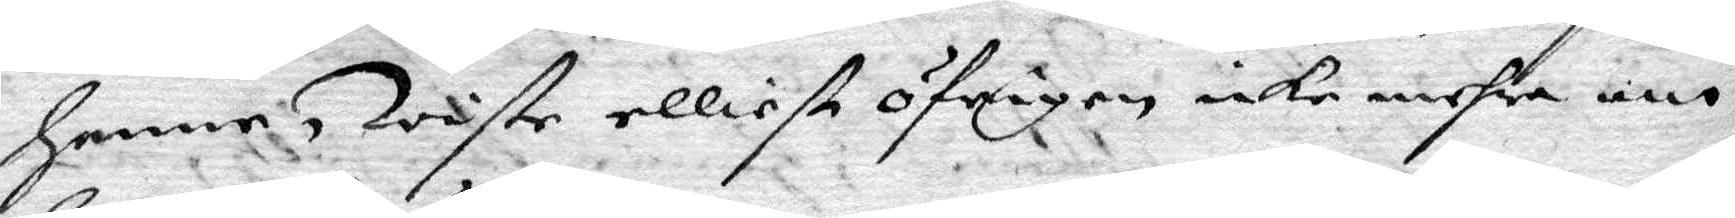henne, wiste elliest öfeigen icke mehra om
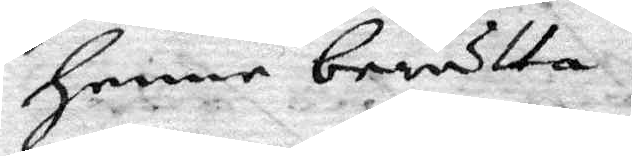henne berätta.
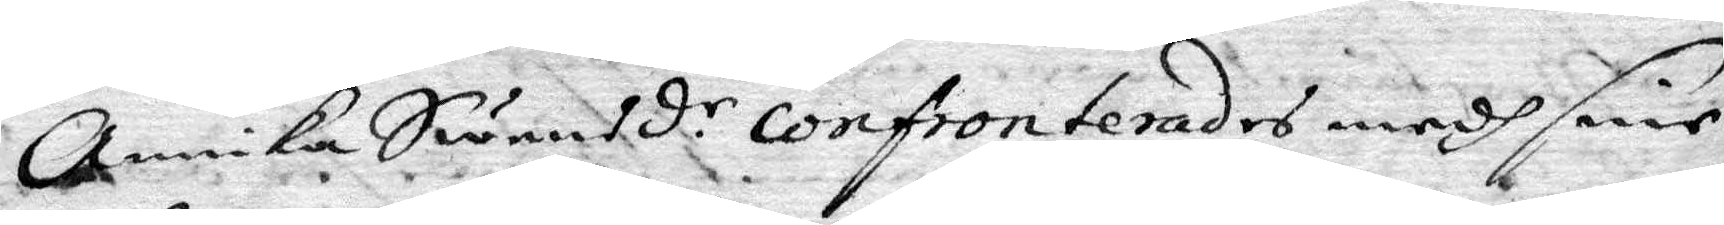Annika Swensd.r confronterades medh sine
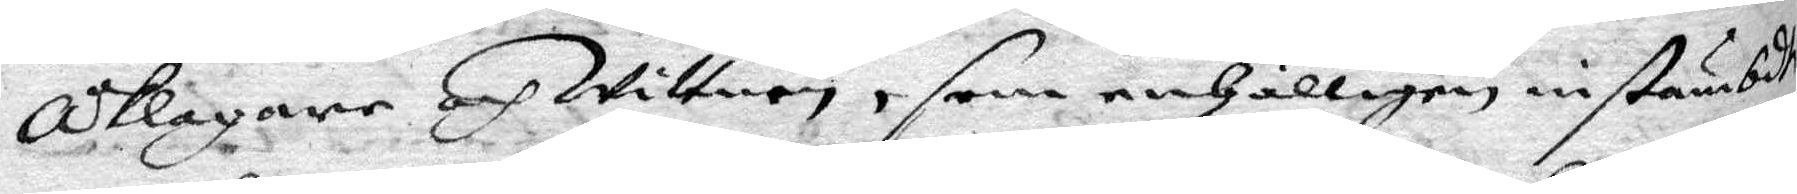åklagare och Wittnen, som enhälligen instämbdte
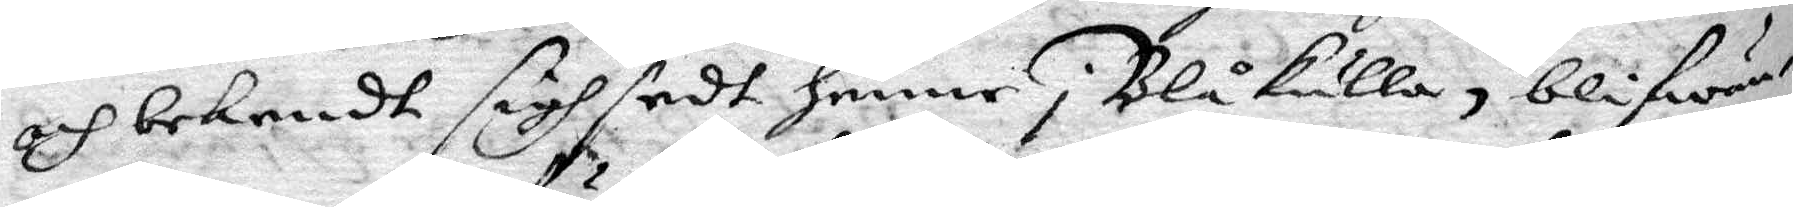och bekendt sigh sedt henne i Blåkulla, blifwan¬
